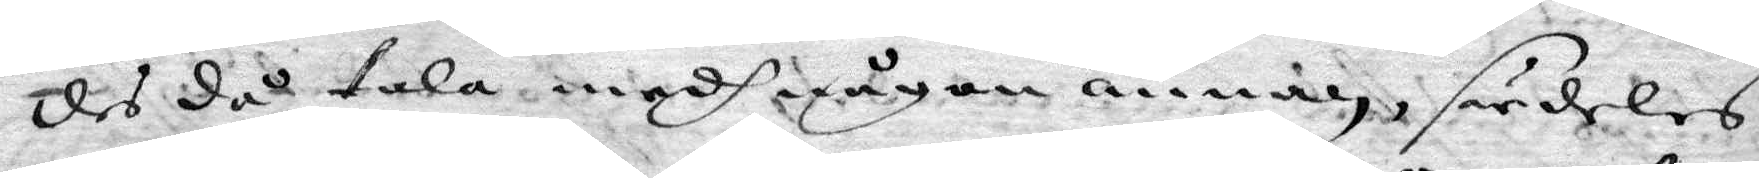des då tala medh någon annan, särdeles
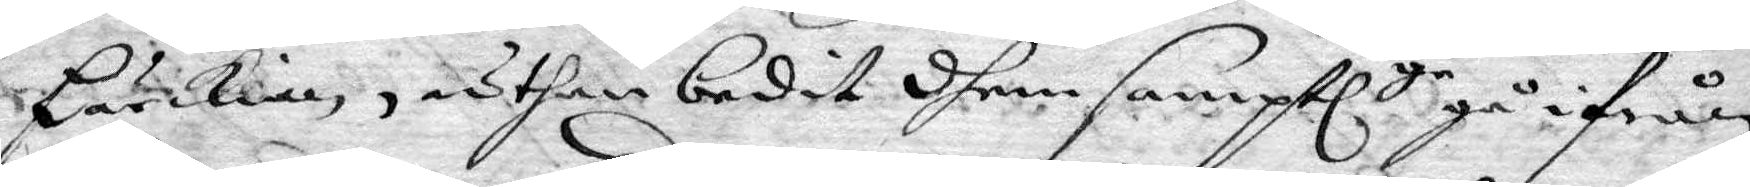Pärckian, uthan bedit dhem samptlge gå ifrån
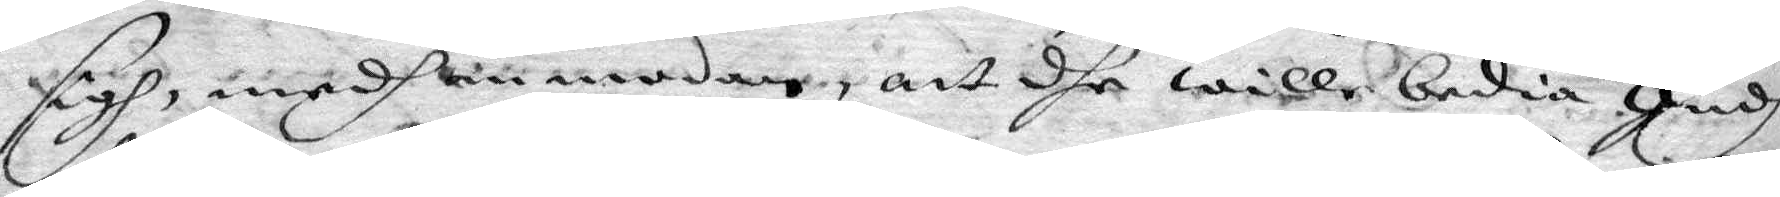sigh, medh anmodan, att dhe wille bedia Gudh
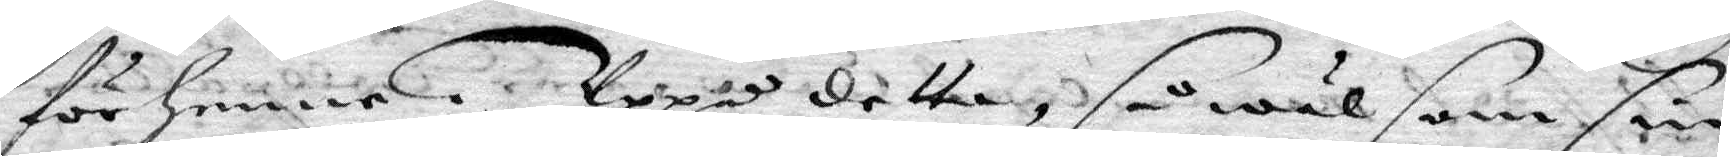för henne. Uppå detta, så wäl som sin
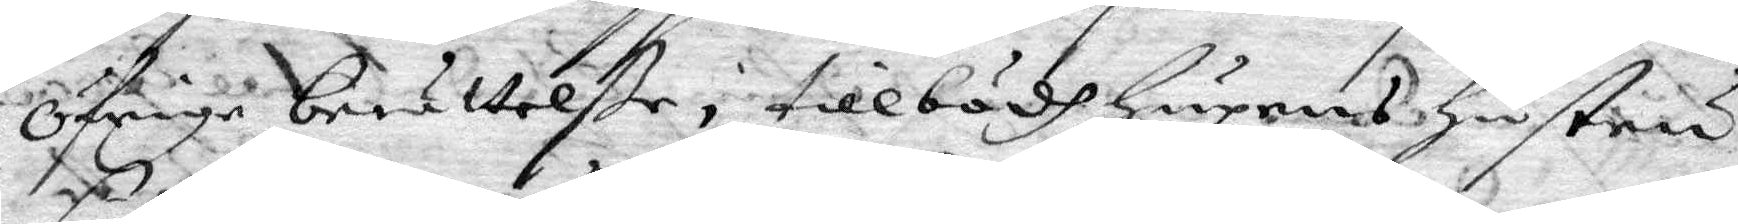öfrige berättelßer, tillbödh hupens hustru
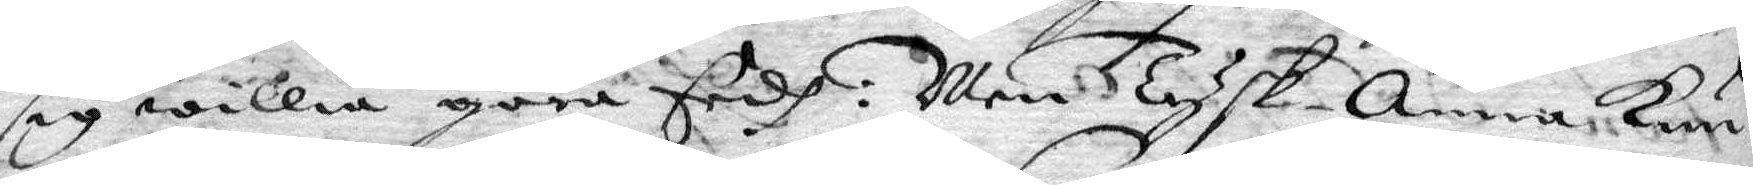sig willia göra Eedh: Men Tysk-Anna kun¬
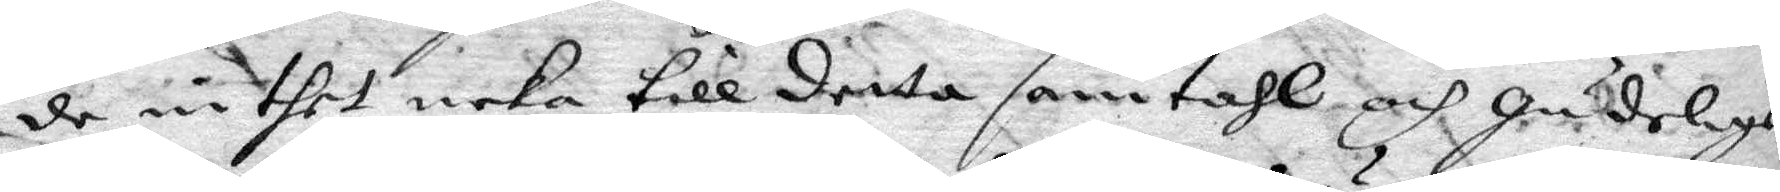de inthet neka till detta samtahl och gudelige
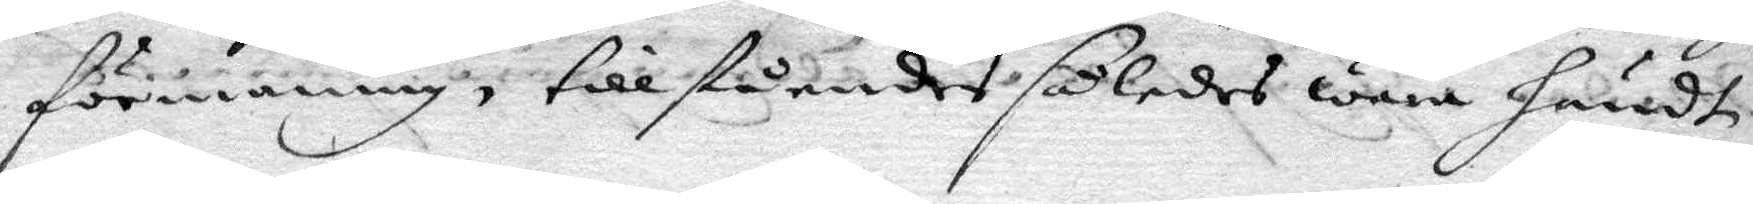förmaning, tillståendes wara händt
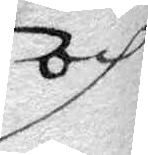och
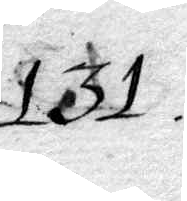131.
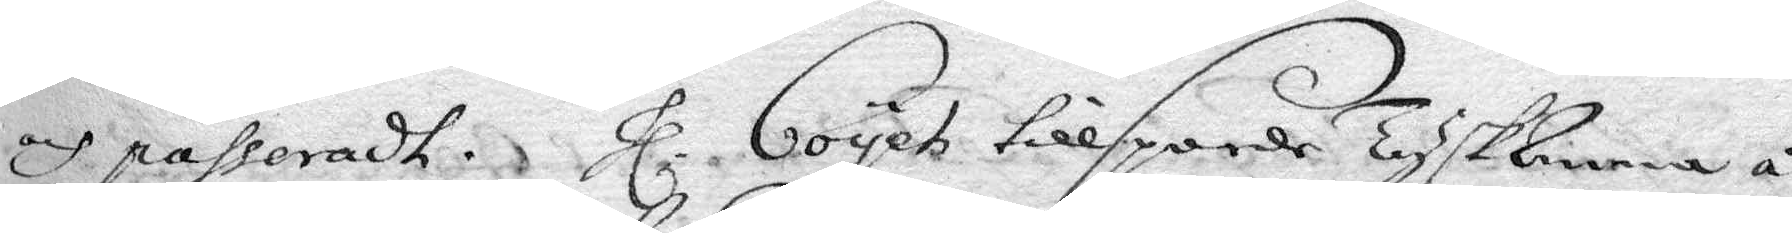och passeradt. Hl Coyet tillsporde TyskAnna å
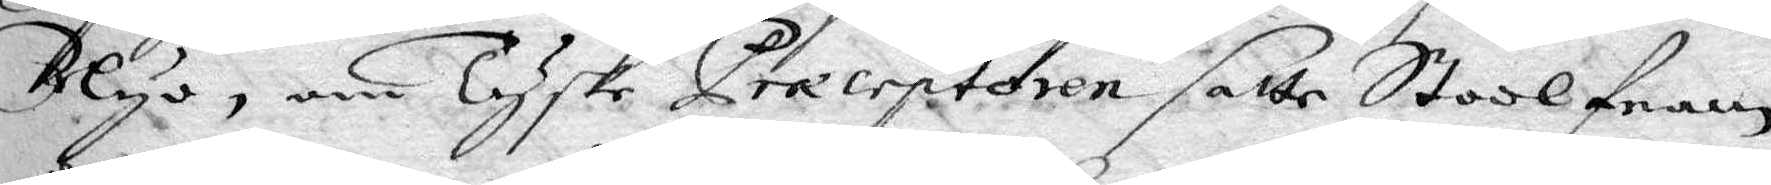Nyo, om Tyske Præceptoren satte Stool fram
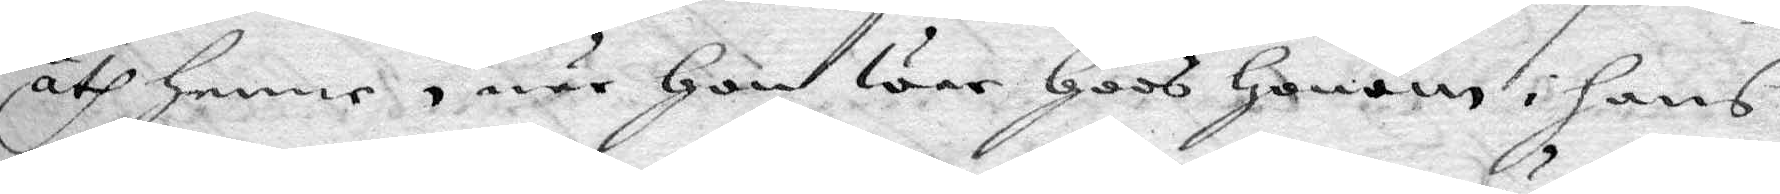åth henne, när hon war hoos honom i hans
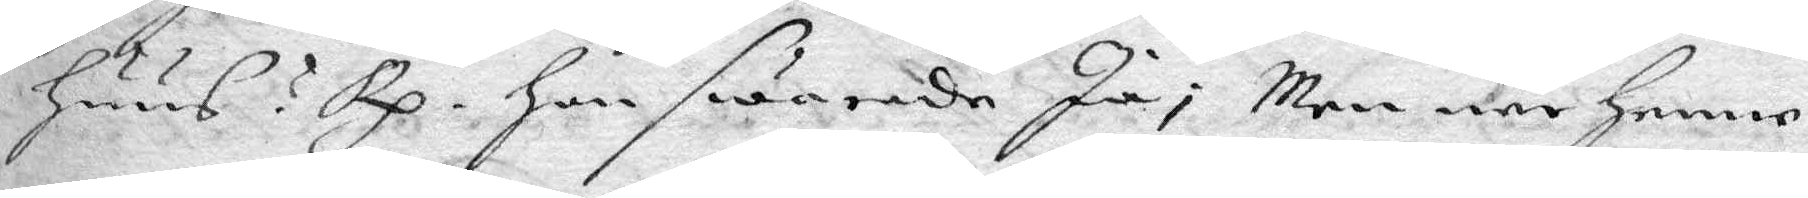huus? Rp. hon swarade Ja; men när henne
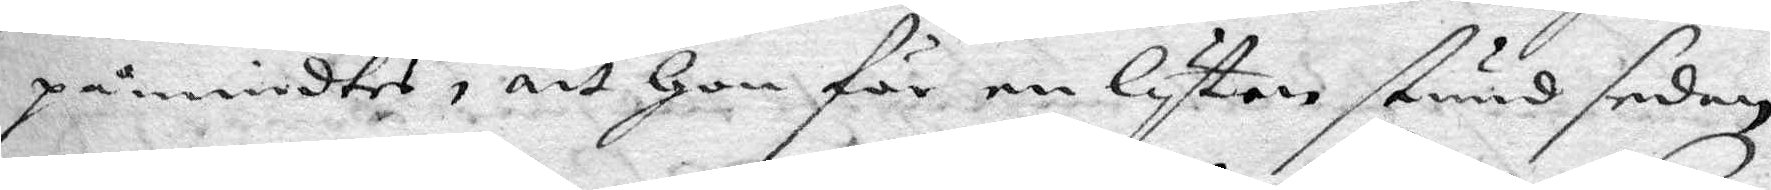påmindtes, att hon för en lyten stund sedan
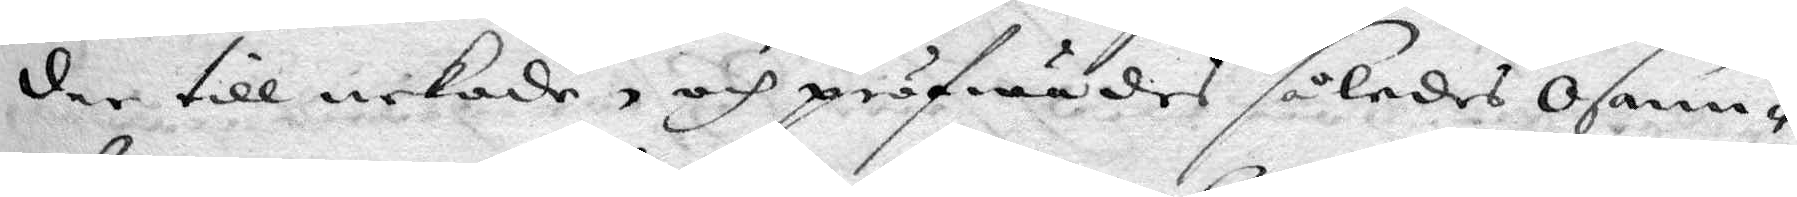der till nekade, och pröfwades således osann¬
